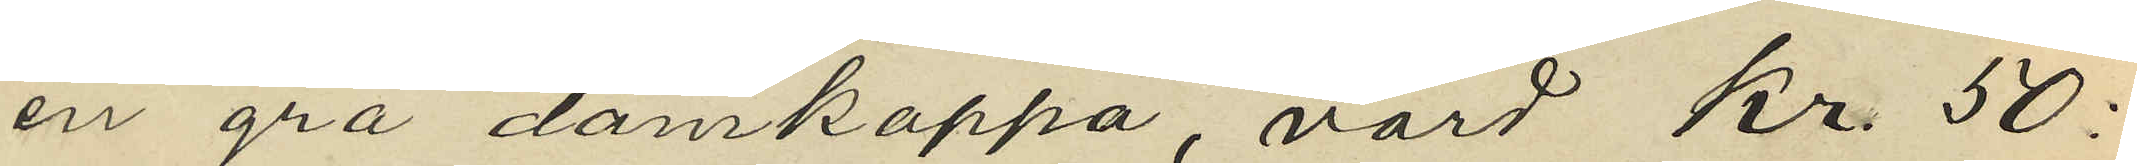en grå damkappa, värd Kr. 50:
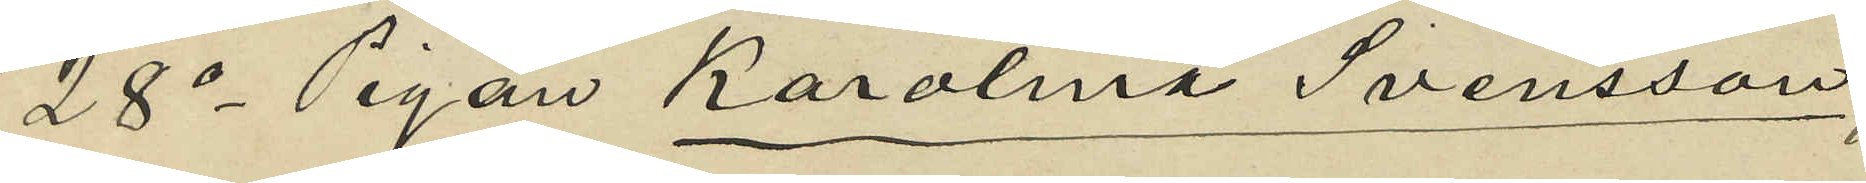28o Pigan Karolina Svensson,
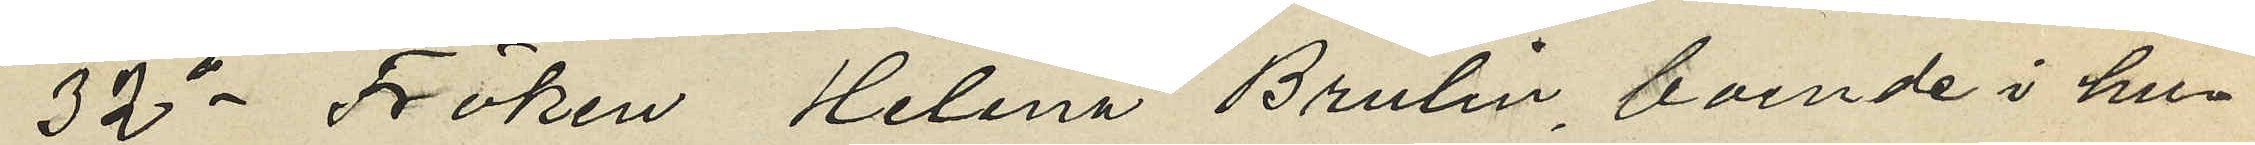32o Fröken Helena Brulin, boende i hus¬
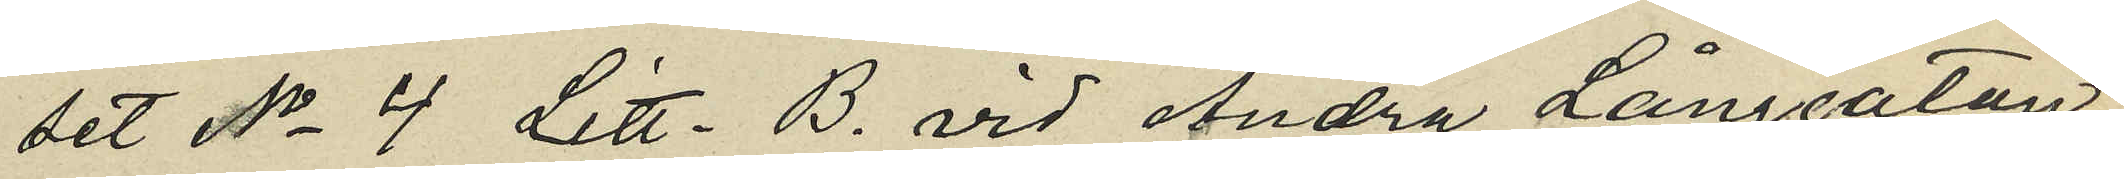set No 4 Litt. B. vid Andra Långgatan
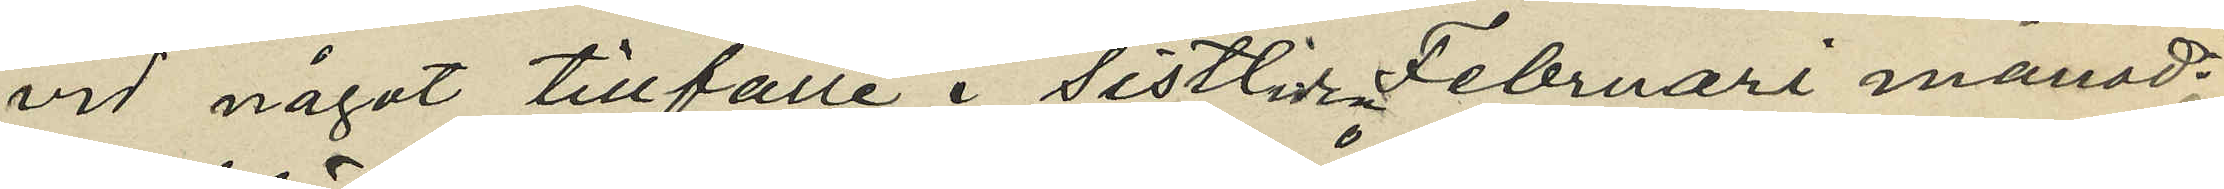vid något tillfälle i sistlide Februari månad
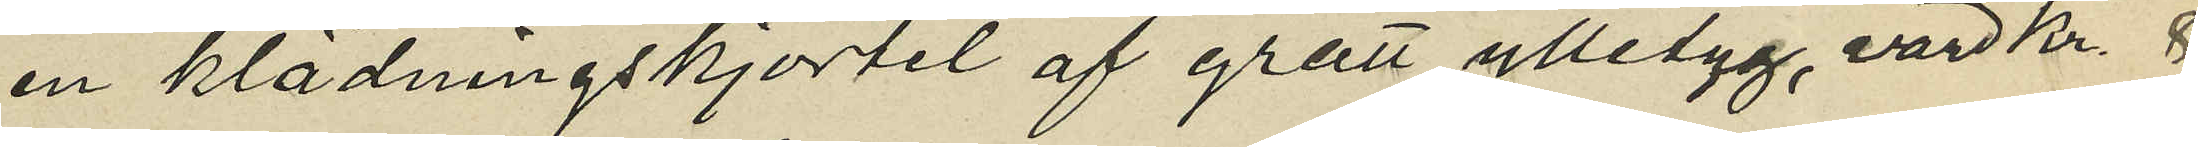en klädningskjortel af grått ylletyg, värd Kr. 8
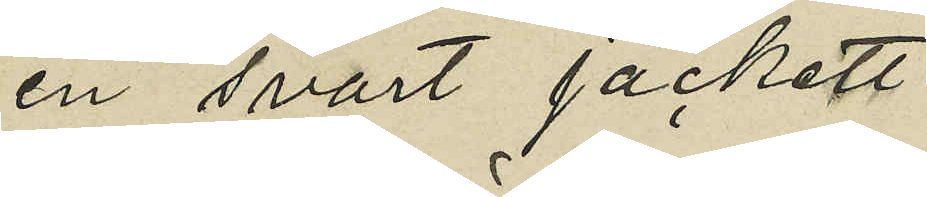en svart jackett
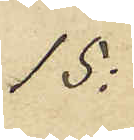15:
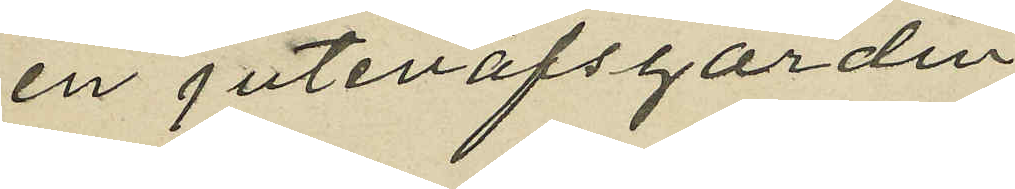en juteväfsgardin
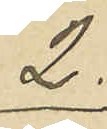2:
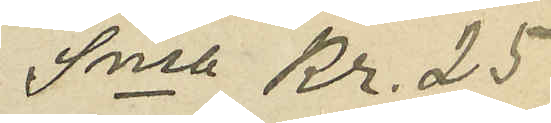Sma Kr. 25
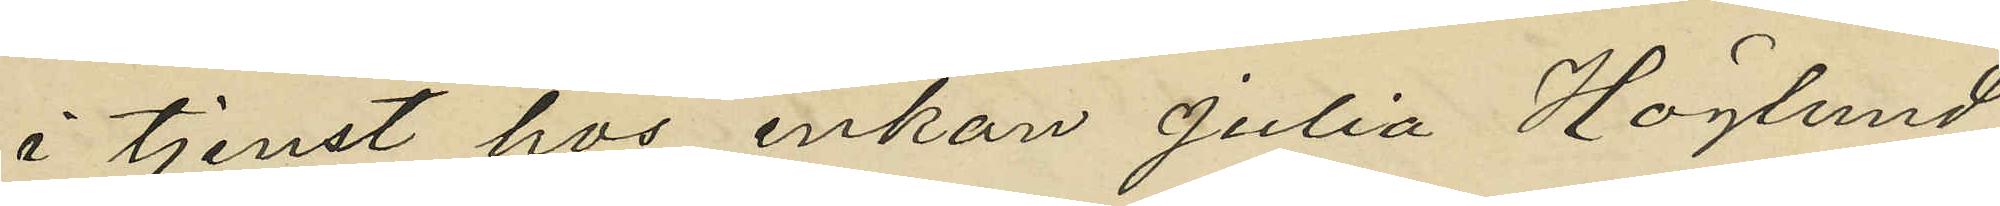å tjenst hos enkan julia Höglund
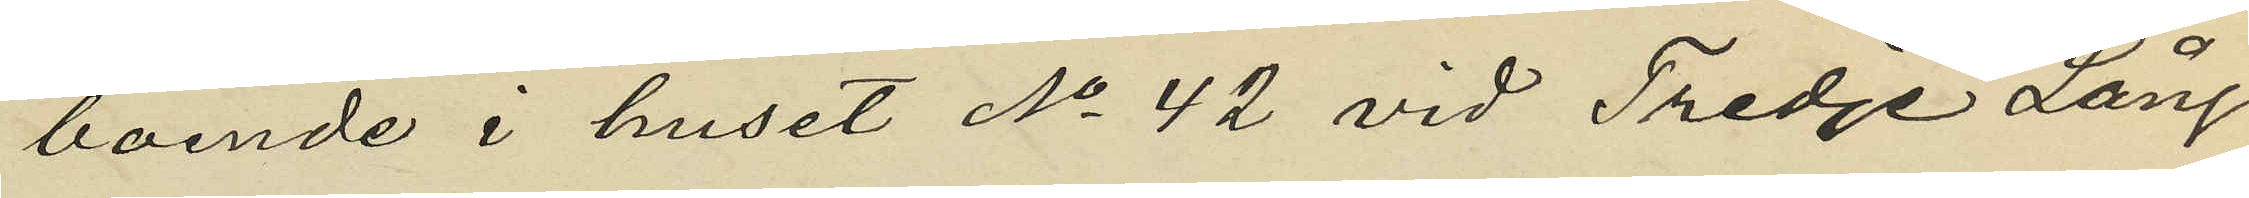boende i huset No 42 vid Tredje Lång¬
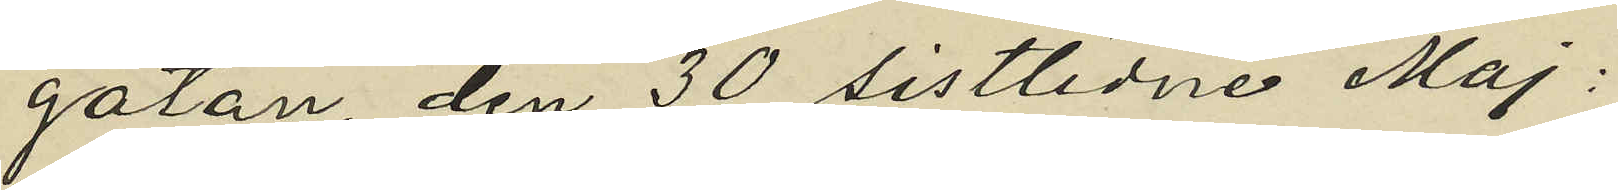gatan, den 30 sistlidne Maj;
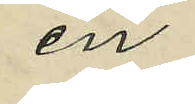en
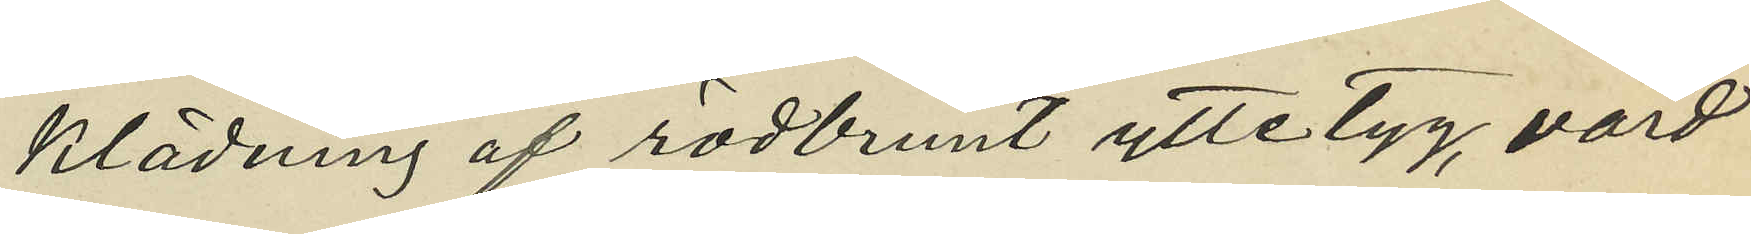klädning af rödbrunt yttetyg, värd
